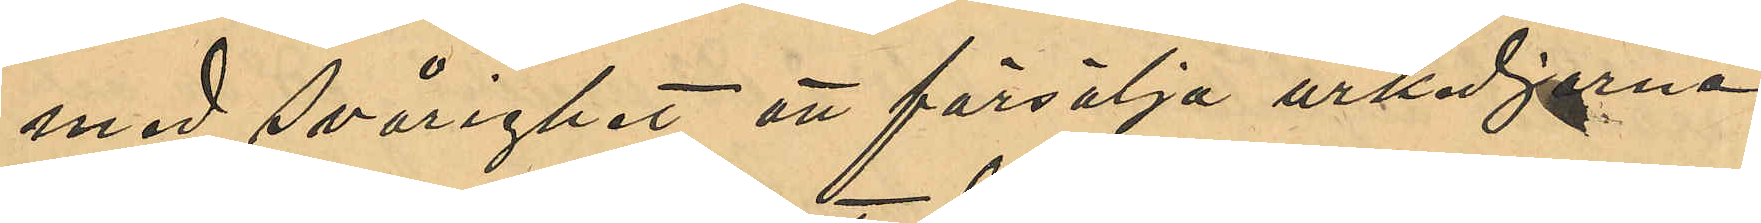med svårighet att försälja urkedjorna
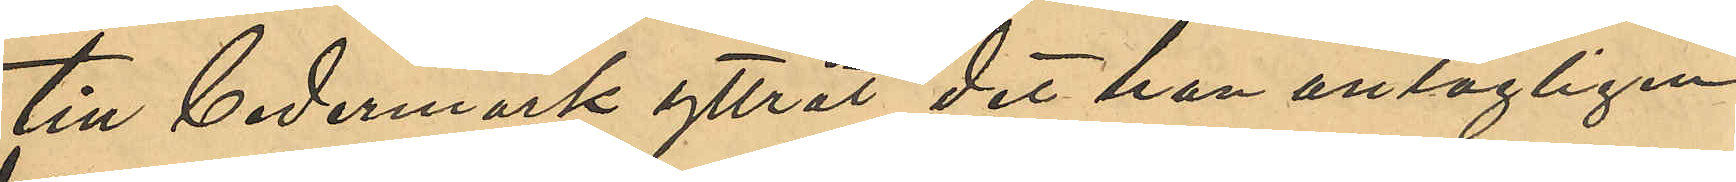till Cedermark yttrat det han antagligen
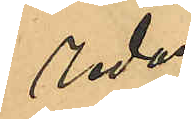redan
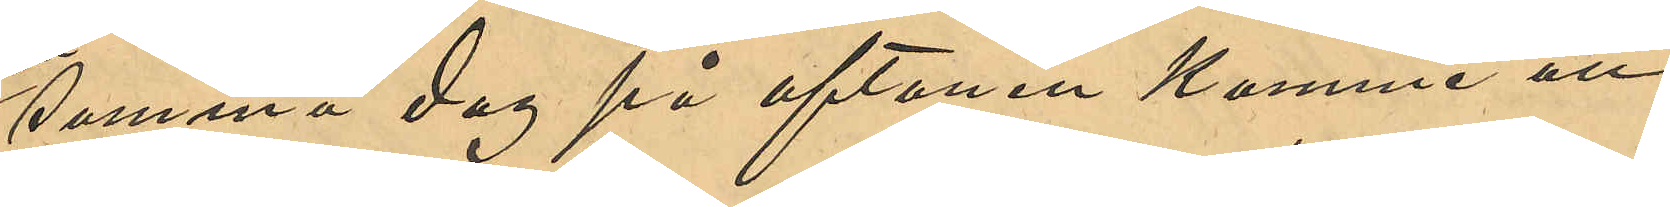samma dag på aftonen komme att
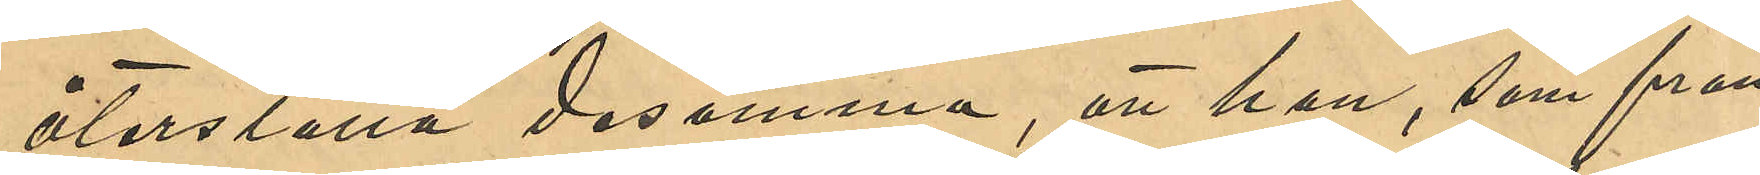återställa desamma, att han, som från
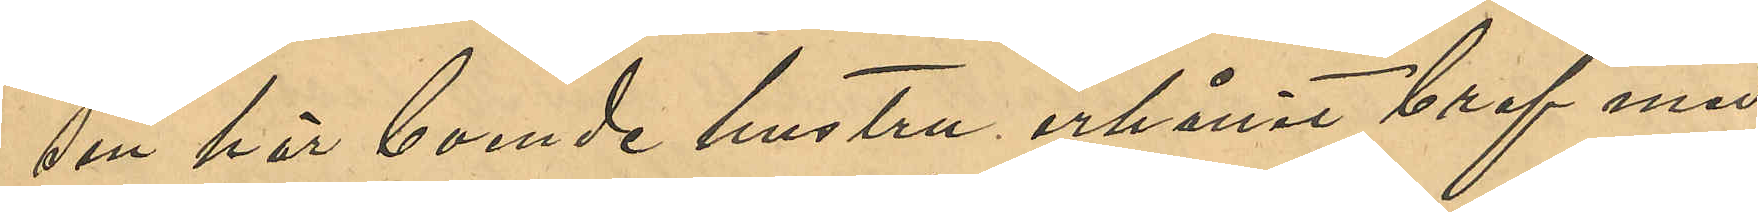sin här boende hustru erhållit bref med
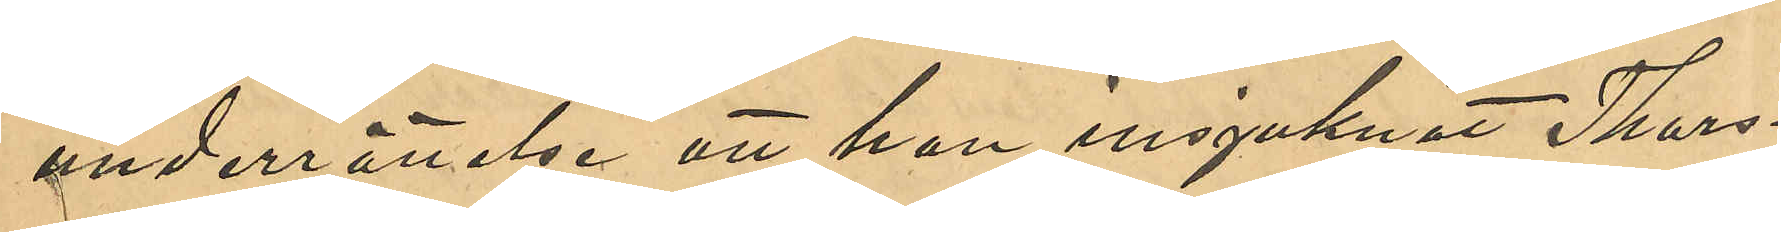underrättelse att hon insjuknat Thors¬
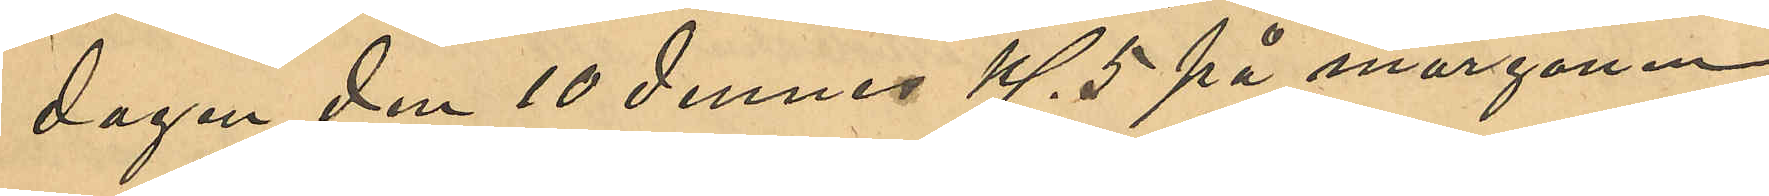dagen den 10 dennes Kl 5 på morgonen,
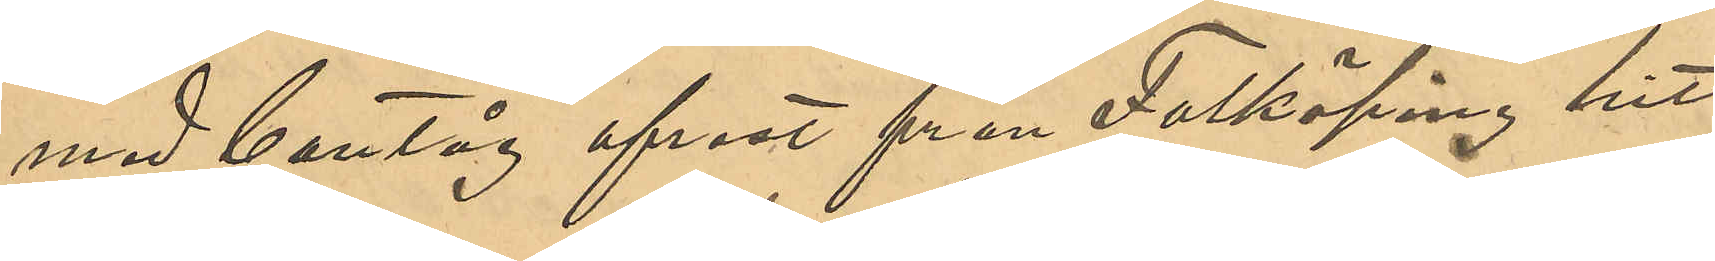med bantåg afrest från Falköping hit 
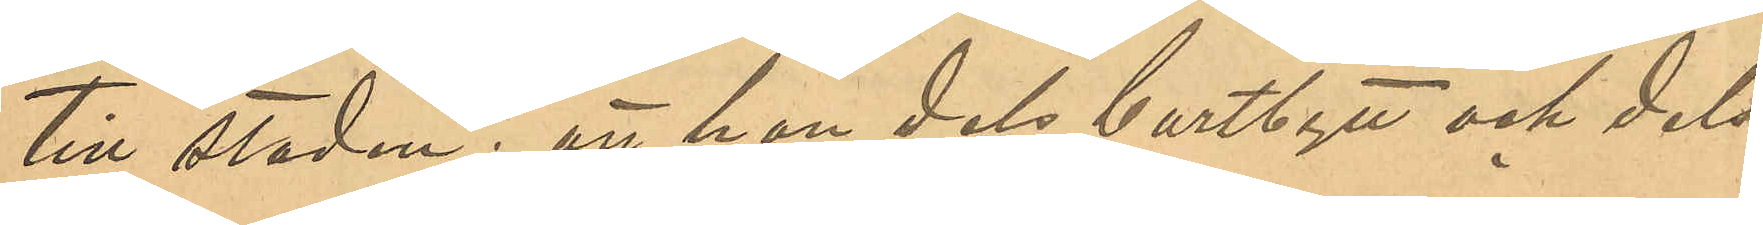till staden; att han dels bortbytt och dels
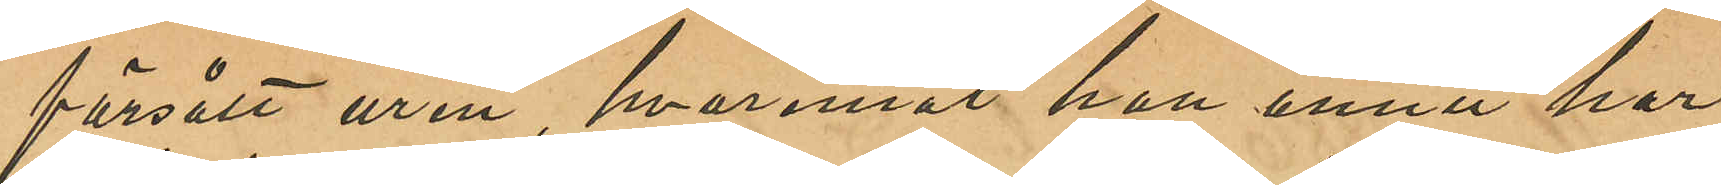försålt uren, hvaremot han ännu har
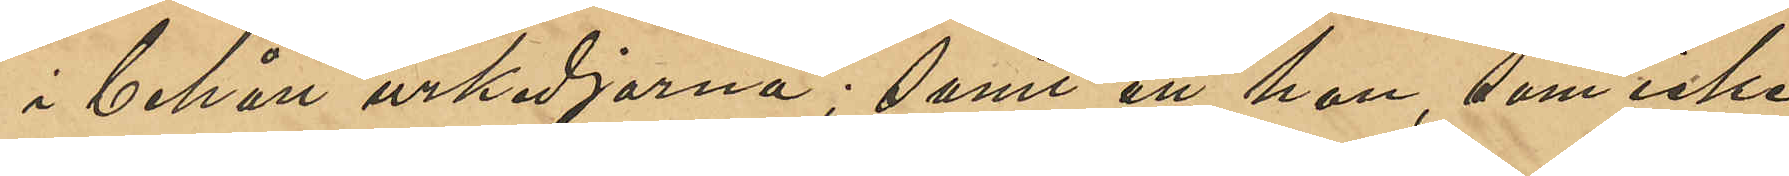i behåll urkedjorna; samt att han, som icke
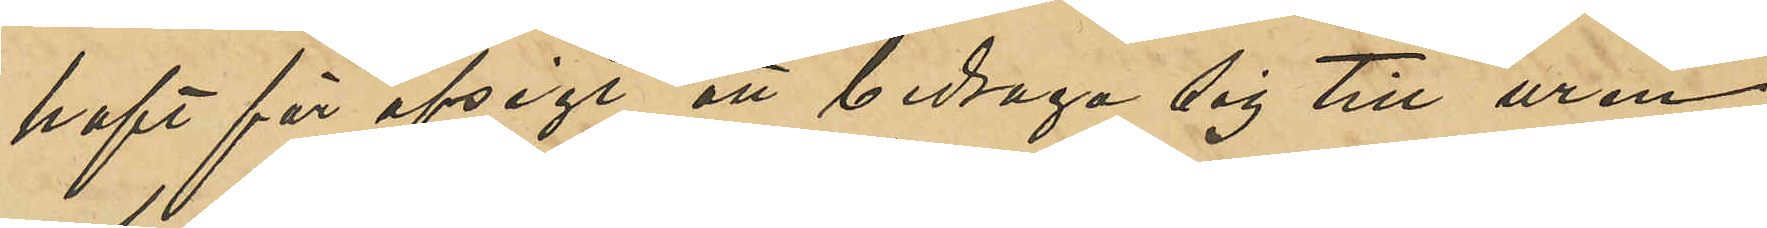haft för afsigt att bedraga sig till uren
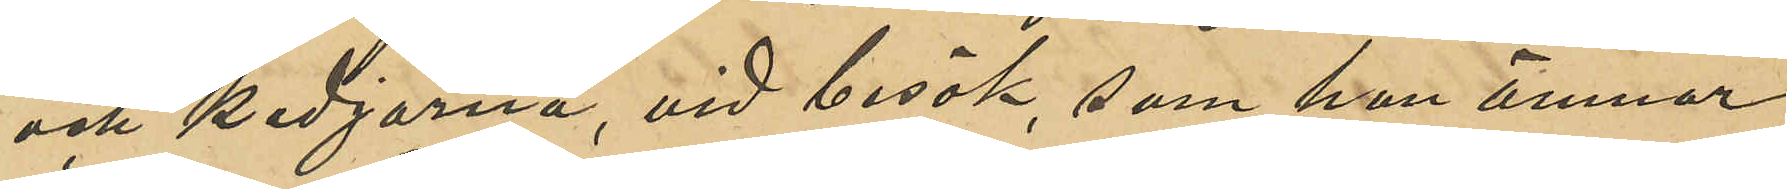och kedjorna, vid besök, som han ämnar
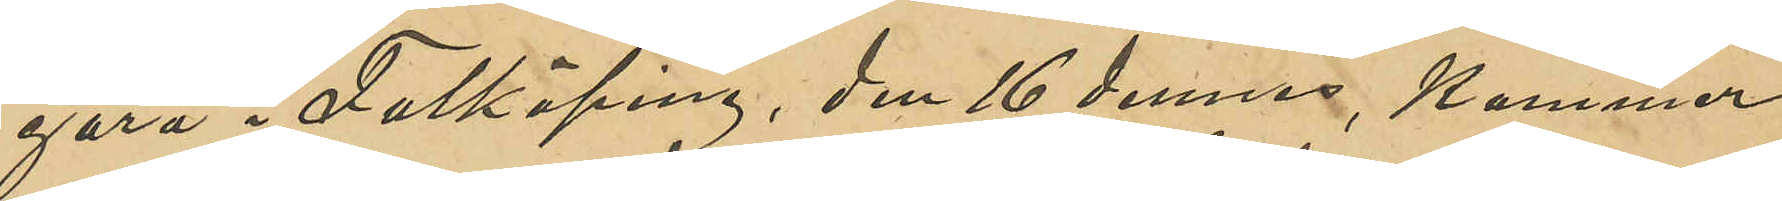göra i Falköping, den 16 dennes, kommer
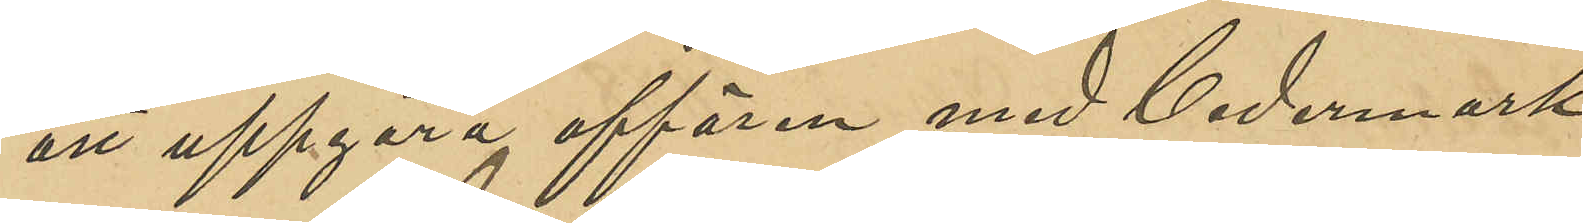att uppgöra affären med Cedermark.
